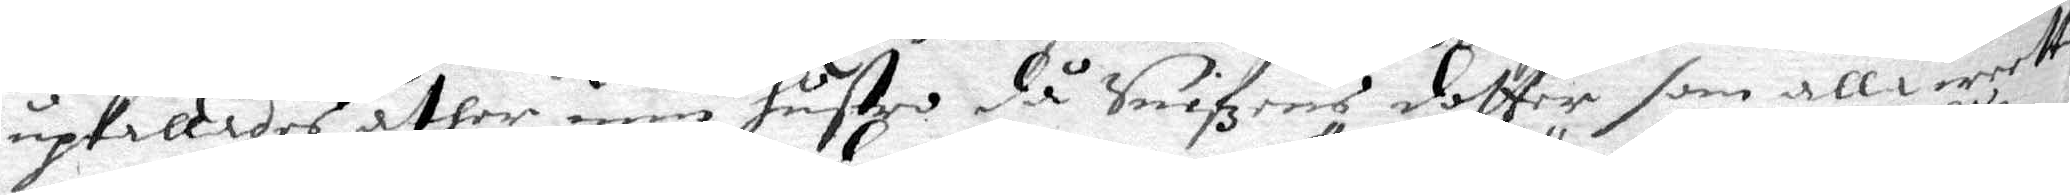upkallades åther min hustro då Snifzens dotter som alla wetta
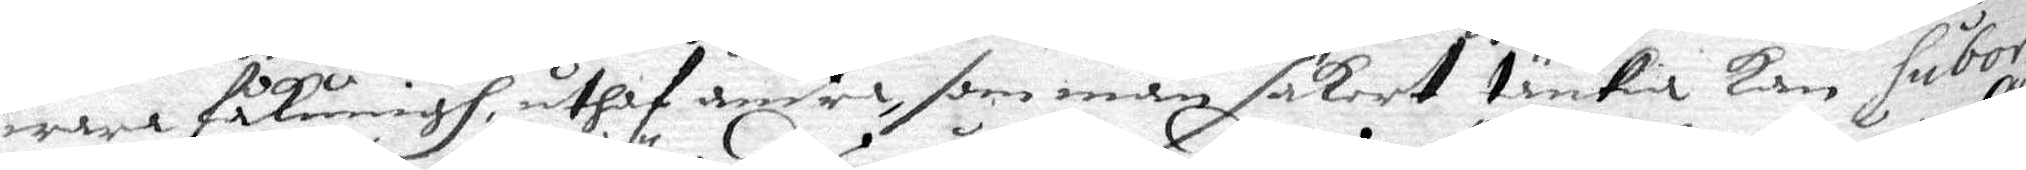wara fåkärringh, uthaf andra, som man säkert tänkia kan subor¬
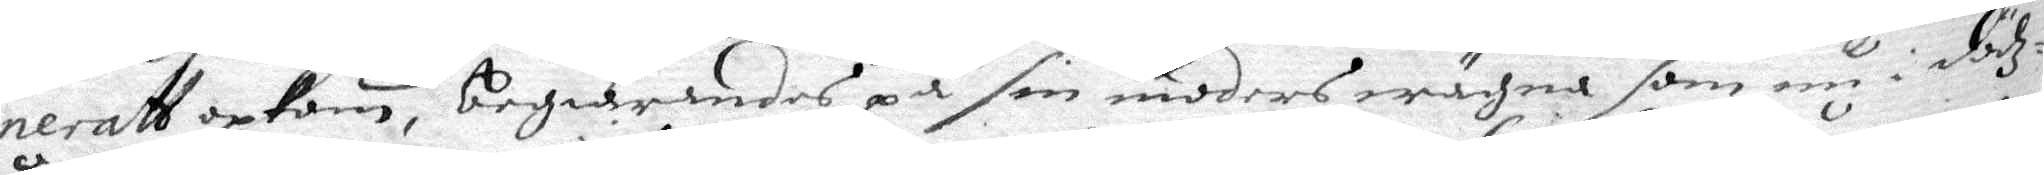neratt upkom, begiärandes på sin moders wägna som nu i dödz¬
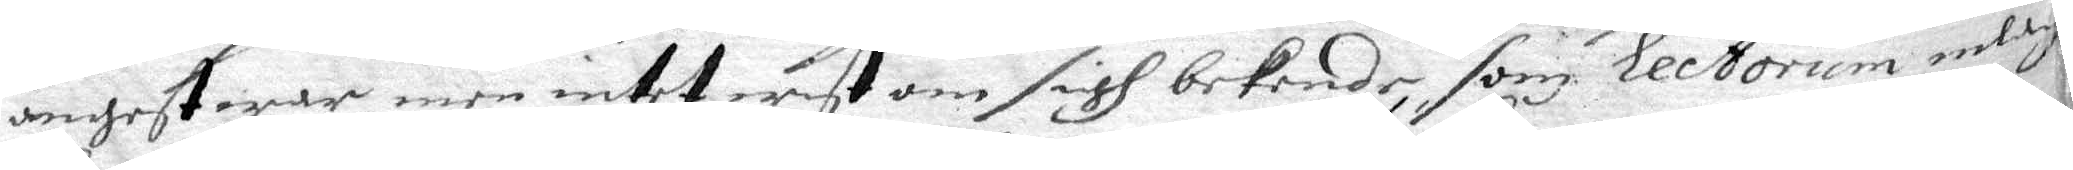ångest war, men intet wist om sigh bekende, som Ecetorum inlag¬
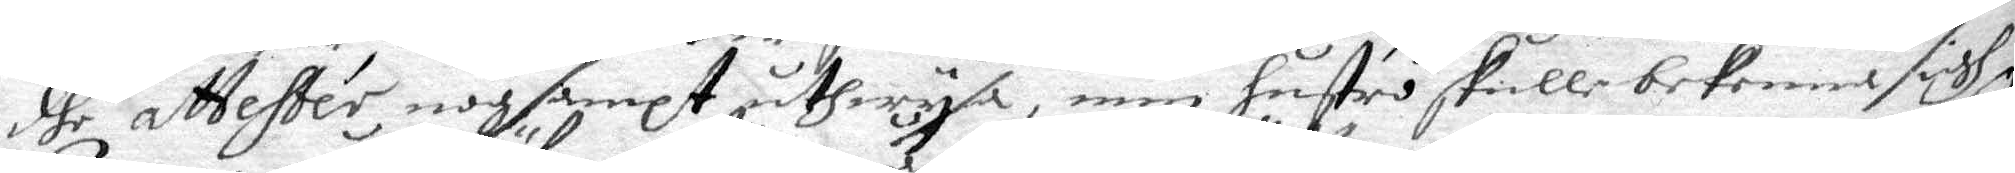dhe attester, nogsampt åthwysa, min hustri skulle bekenna sigh
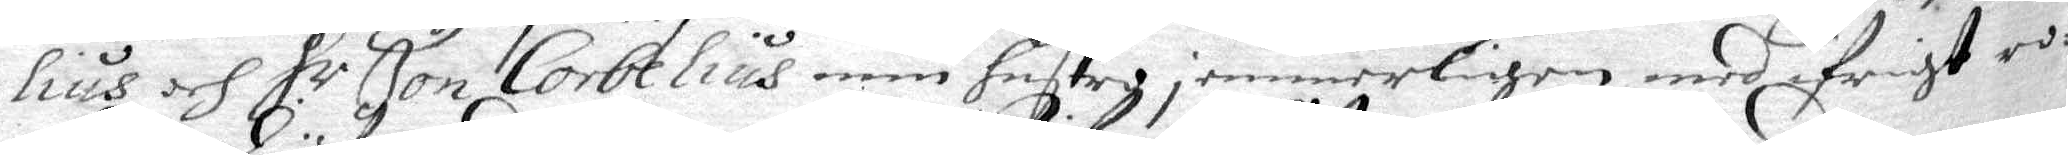lius och H.r Jon Corbelius min hustro; emmerligen med ifrigt ro¬
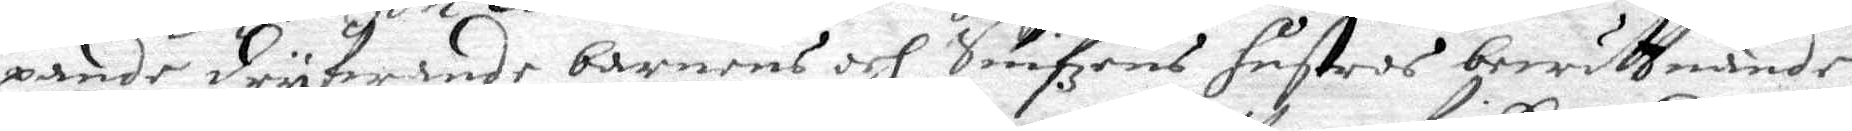pande dryfwande barnens och Snifzens hustros berättande.
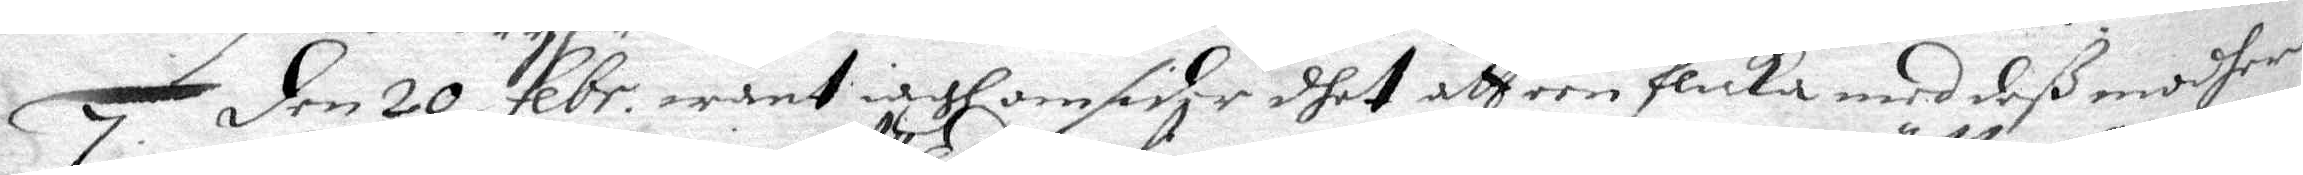7. Den 20 Febr. want iagh omsider dhet att een flicka med deß modher
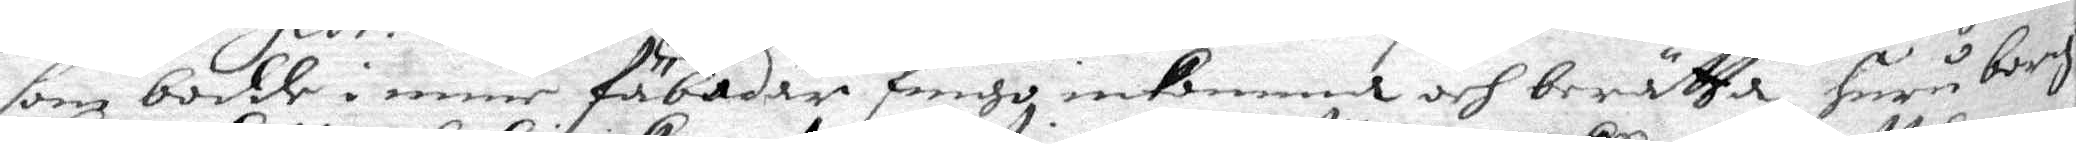som bodde i mine fäbodar fingo inkomma och berätta huru borg
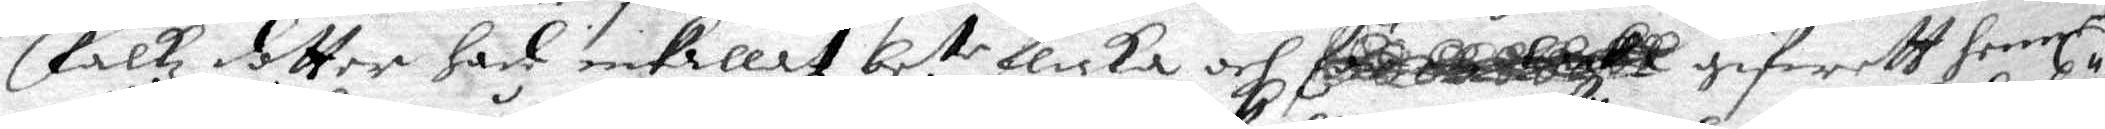Falks dotter had inkallat be.te flicka och giwett henne
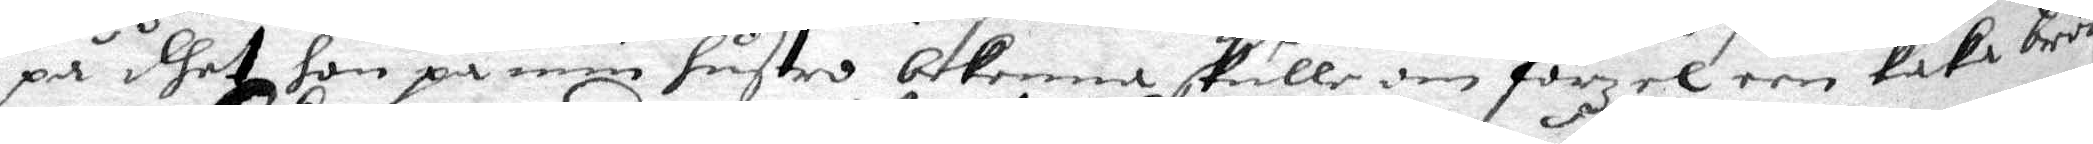på dhet hon på min hustro bekenna skulle om förzel een kaka bröd
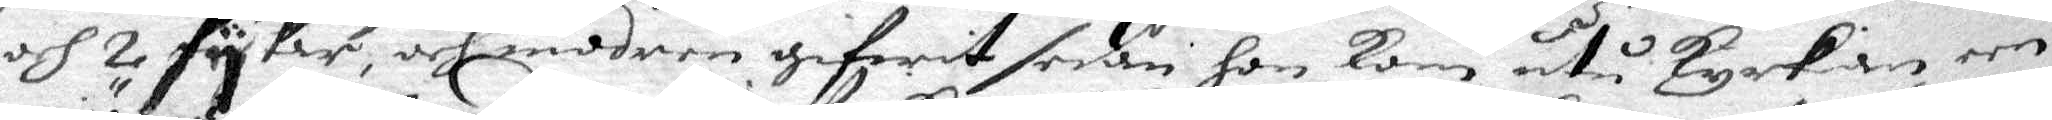och 2 sykar, och modren gifwit sedan hon kom utu Kyrkian een
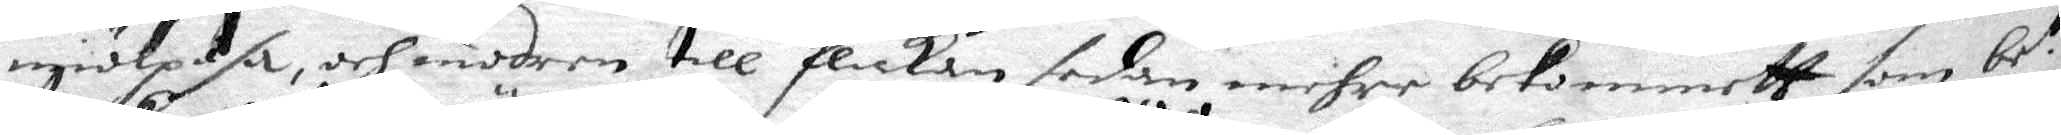miölpåse, och modrn till flickan sedan mehre bekommett som be.te
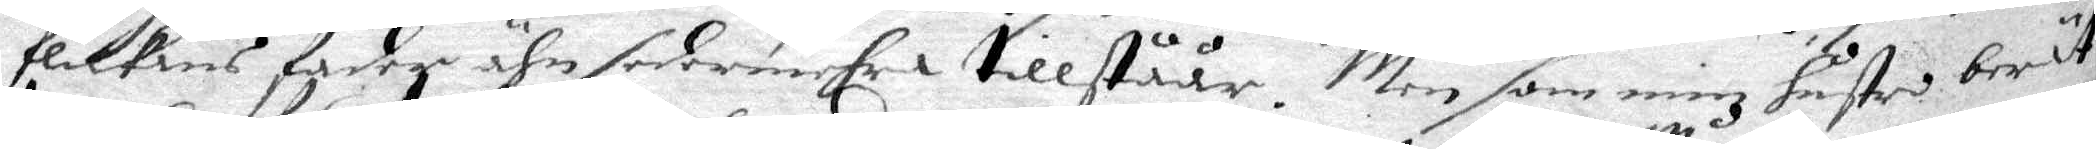flickans fader ähn sedermerhra tillståår. Men som minz hustro berät¬
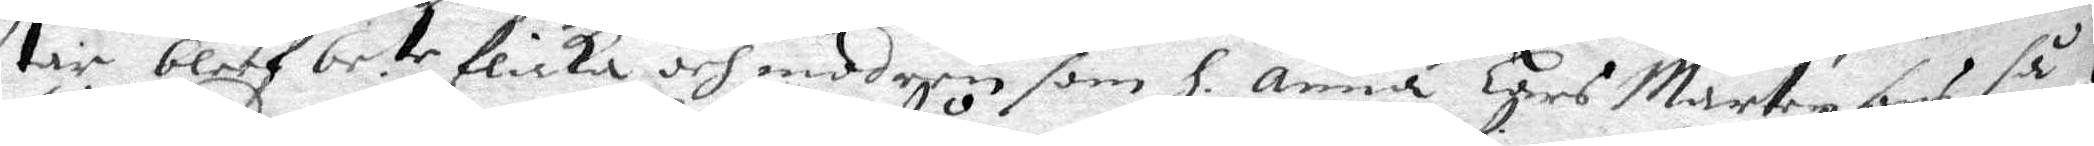tar bleff be.te flicka och mod een som H. Anna Hars Mårtensons så 
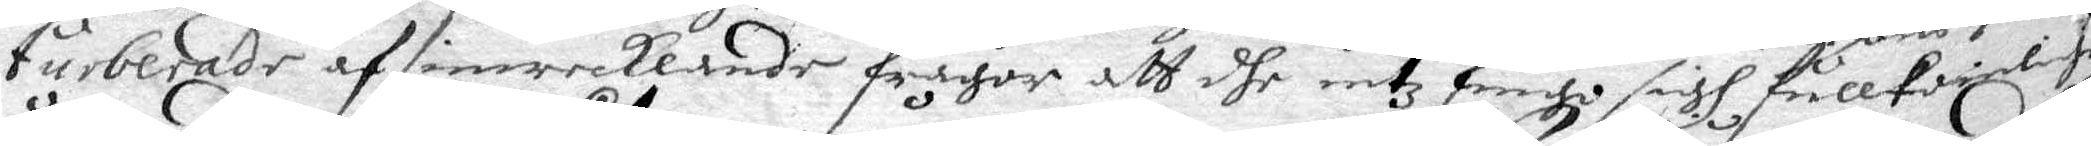turberade af inwecklande frågor att dhe intz fingo sigh fullkomligen
